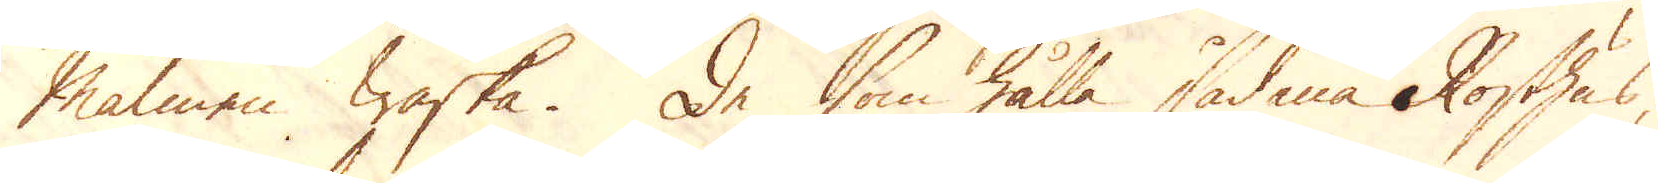Malmen waska. De som hålla sådana Rosthus,
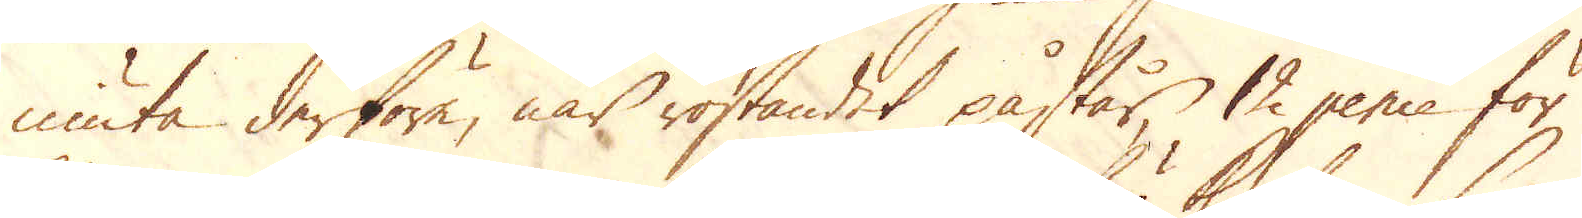niuta derföre, när rostandet påstår, 12 pence för
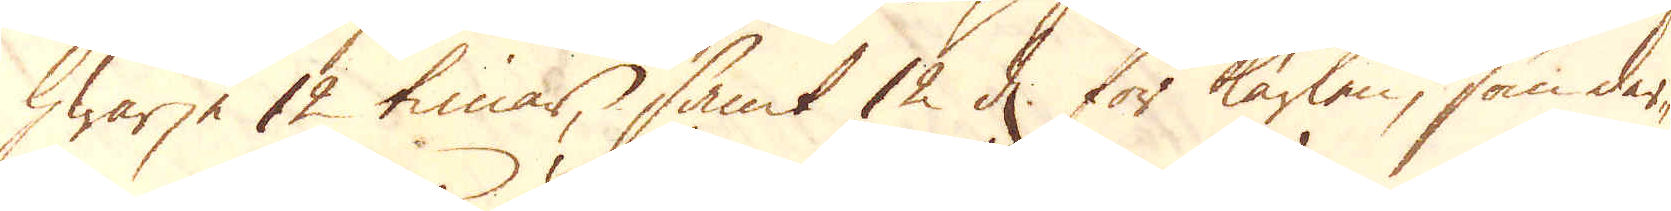hwarje 12 timar, samt 12 d. för karlen, som der-
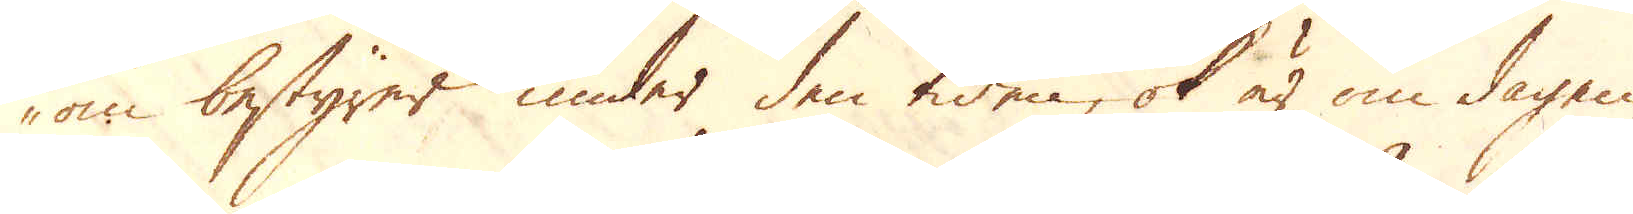om bestyrer under den tiden, ok är om dagen
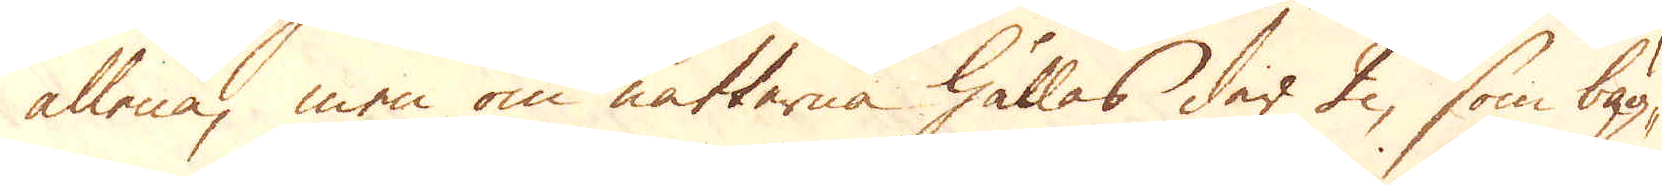allena, men om nätterna hållas der 2, som bäg-
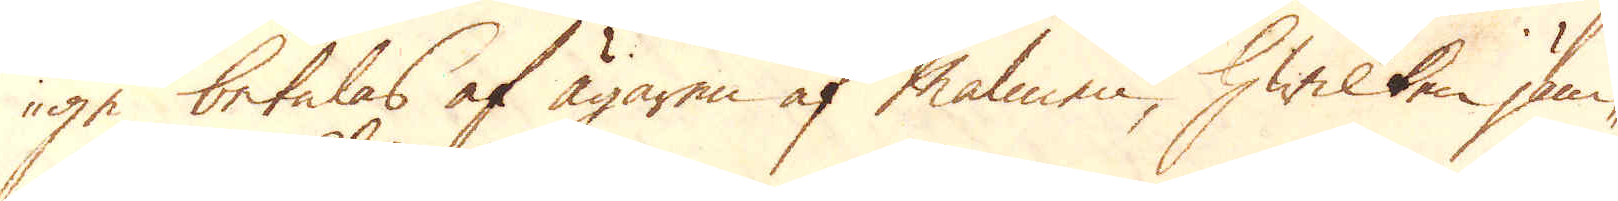ge betalas af ägaren af Malmen, hwilken jäm-
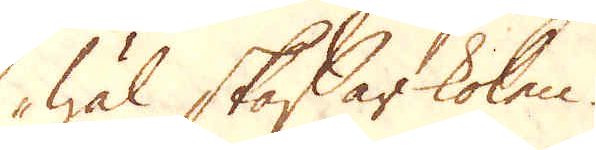wäl skaffar kolen.
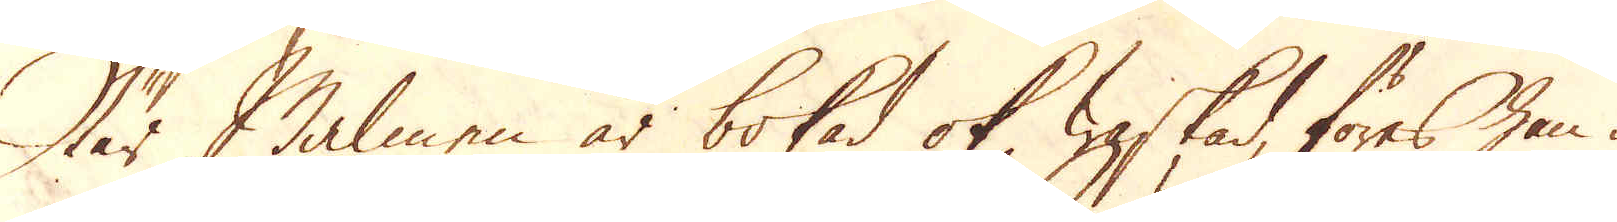När Malmen är bokad ok rostad, föres han i
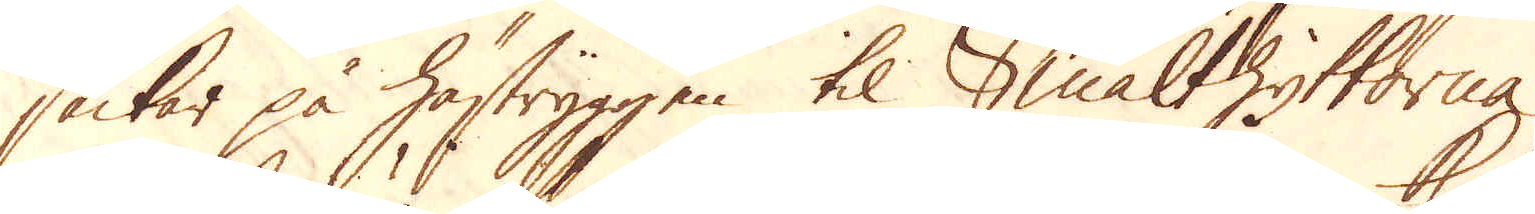säckar på hästryggen til Smälthyttorna,
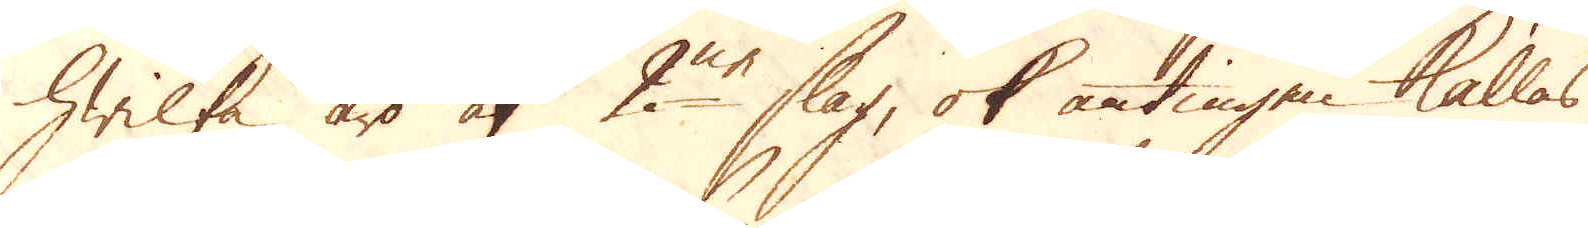hwilka äro af 2ne slag, ok antingen kallas
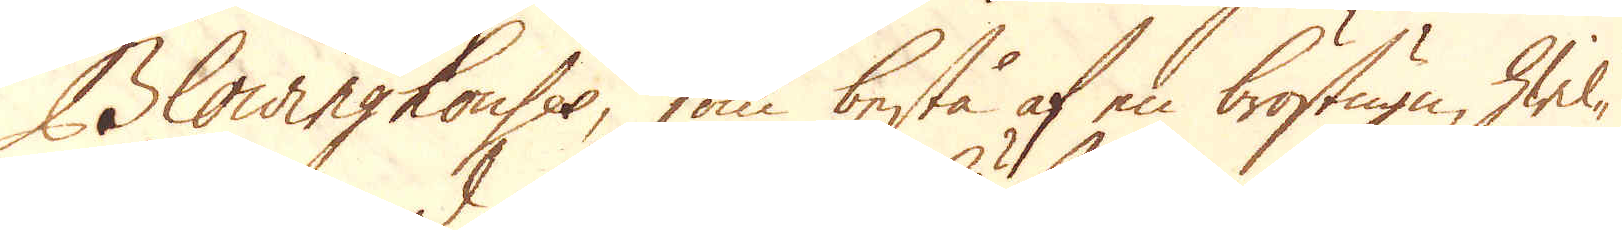Blowinghouses, som bestå af en bröstugn, hwil-
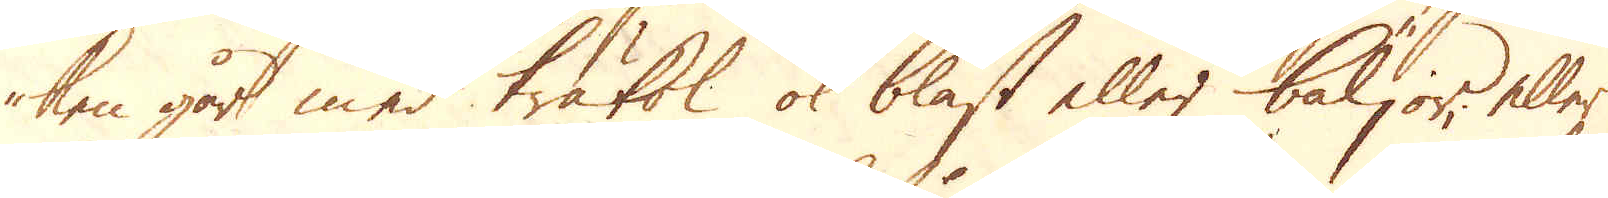ken går med träkol, ok bläst eller bäljor, eller
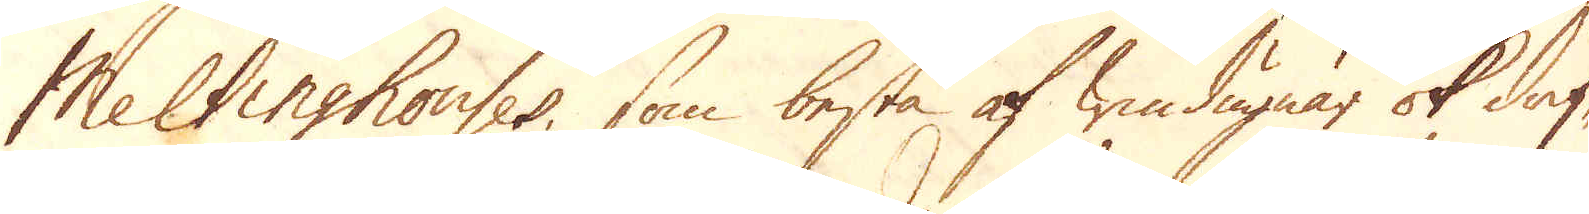Meltinghouses, som bestå af windugnar ok drif-
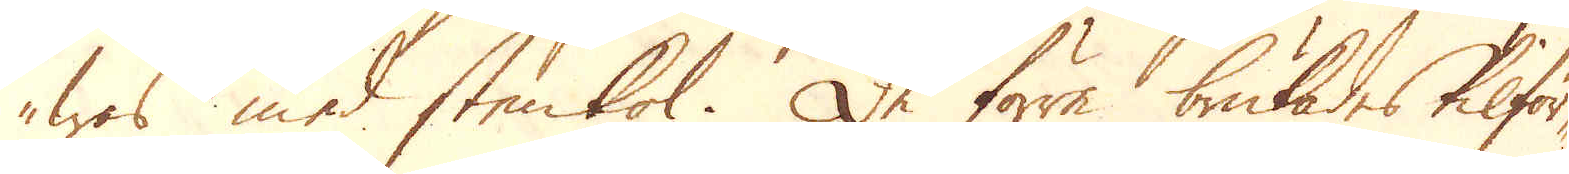was med stenkol. De förre brukades tilför-
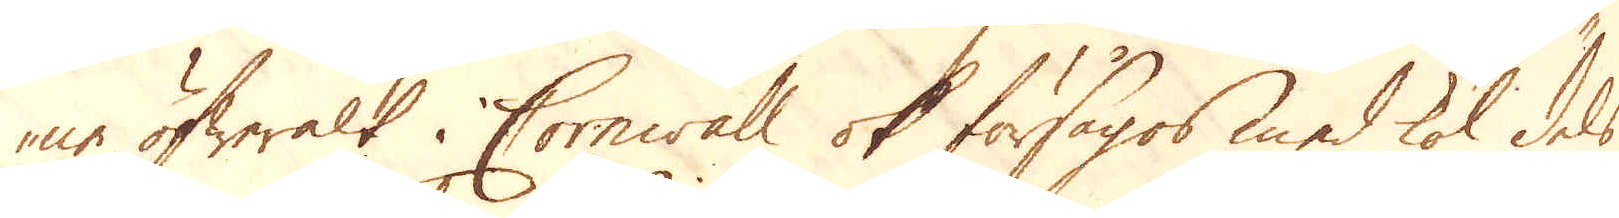ne öfweralt i Cornwall ok försågos med kol dels
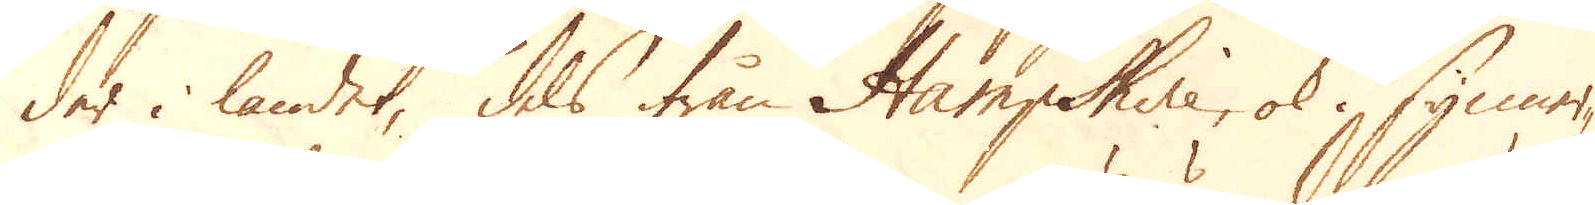der i landet, dels ifrån Hampshire, ok i synner-
